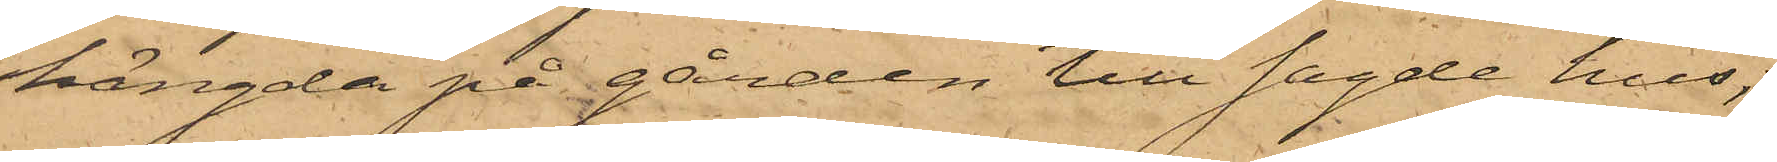hängda på gården till sagde hus;
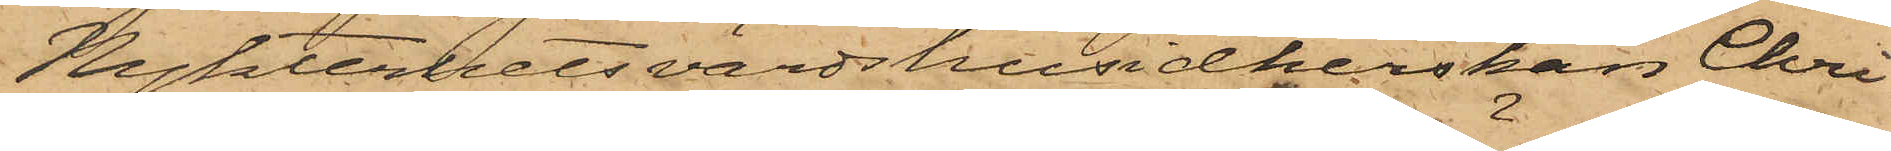Nykterhetsvärdshusidkerskan Chri¬
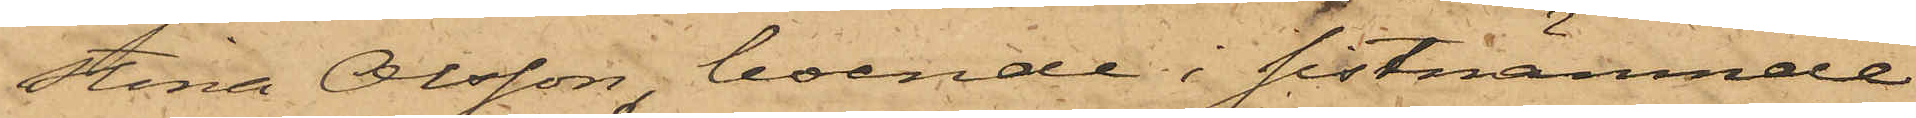stina Olsson, boende i sistnämnde
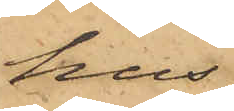hus,
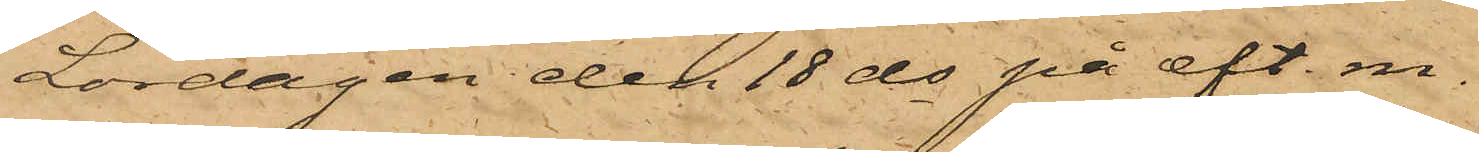Lördagen den 18 ds på eft. m.
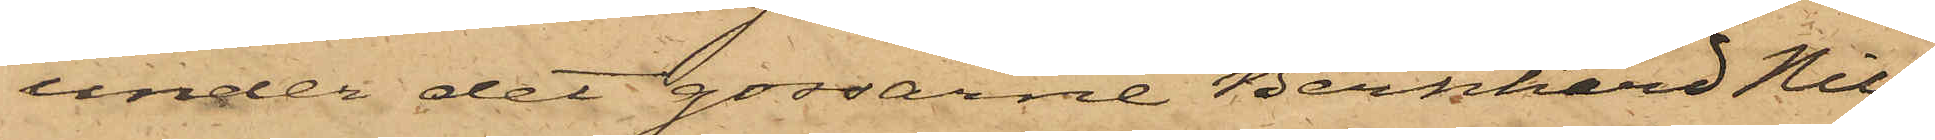under det gossarne Bernhard Nils¬
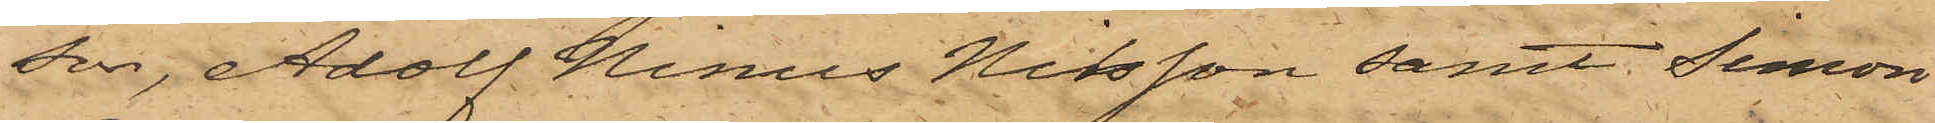son, Adolf Ninus Nilsson samt Simon
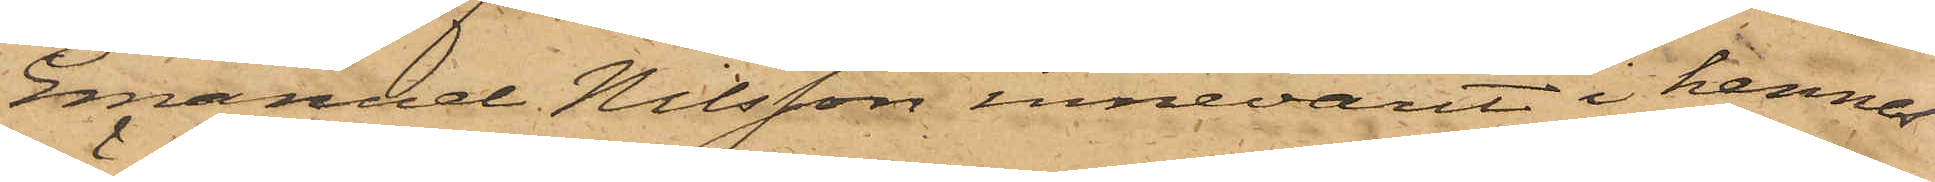Emanuel Nilsson innevarit i hennes
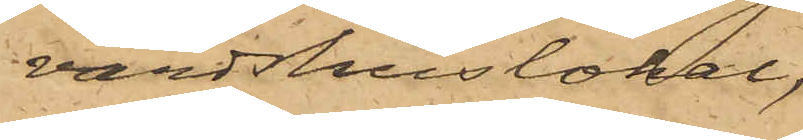värdshuslokal,
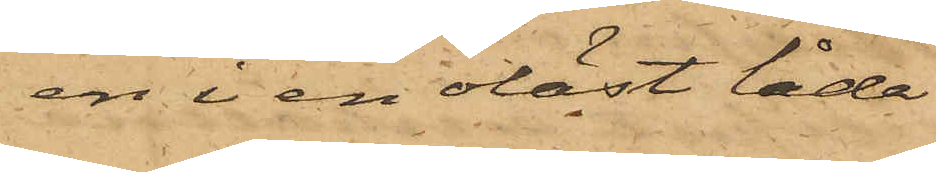en i en olåst låda
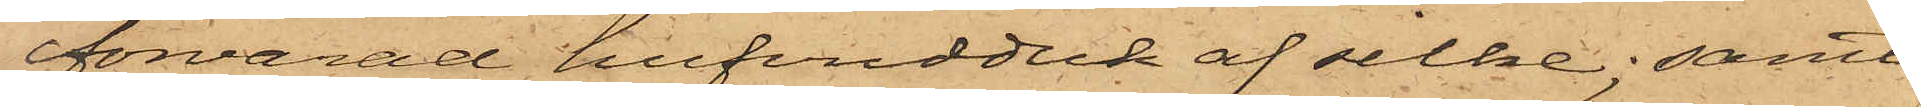förvarad hufvudduk af silke; samt
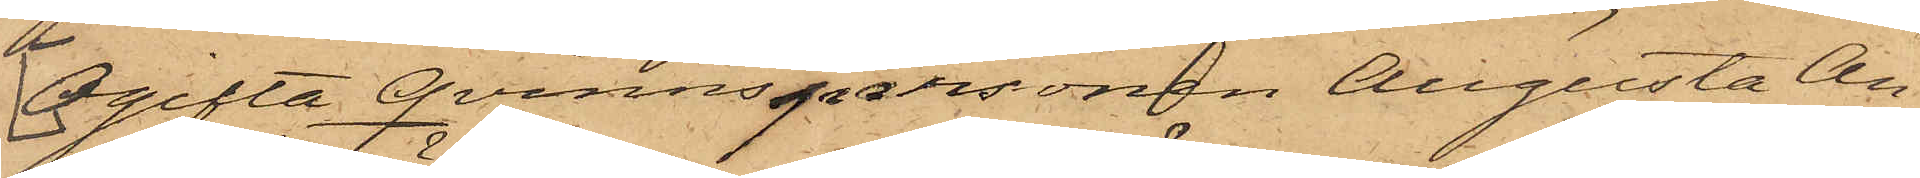Ogifta Qvinnspersonen Augusta An¬
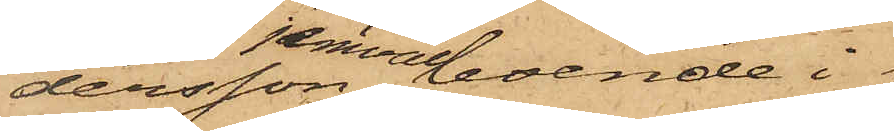derson, jemväl boende i
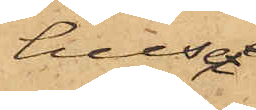huset
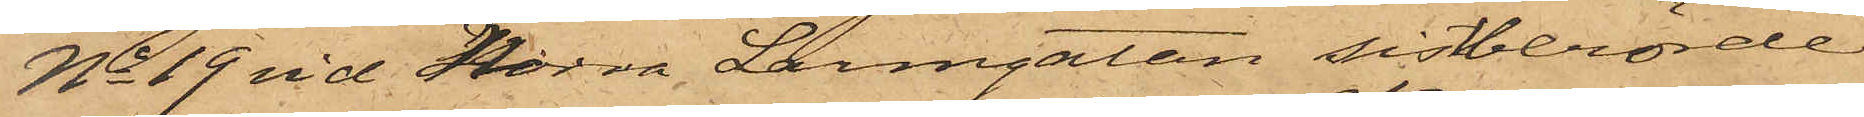No 19 vid Norra Larmgatan sistberörde
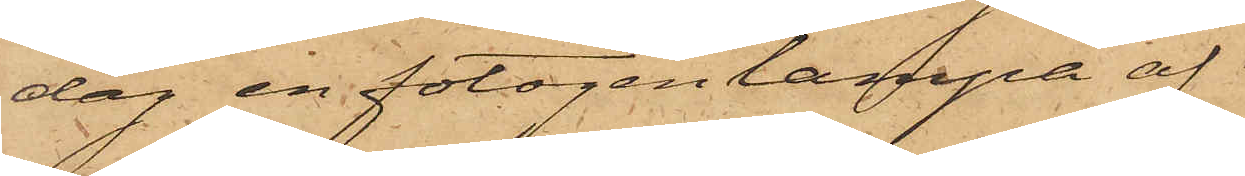dag en fotogenlampa af
